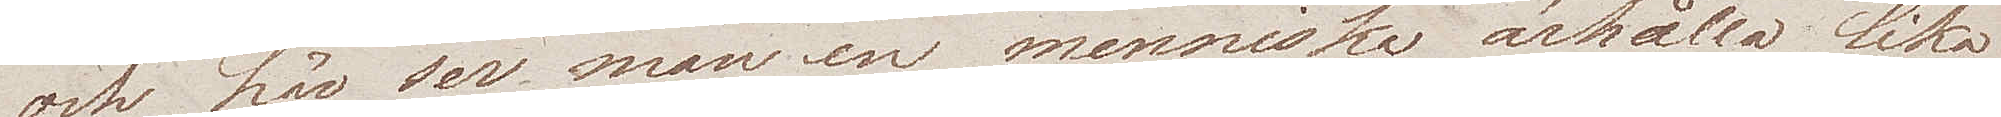och här ser man en menniska ärhålla lika
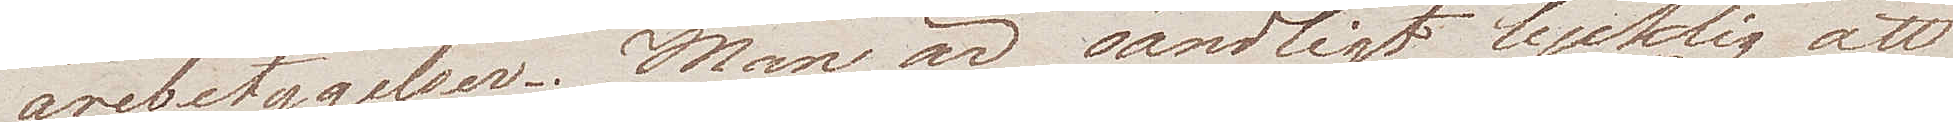ärebetygelser. Man är oändligt lycklig att
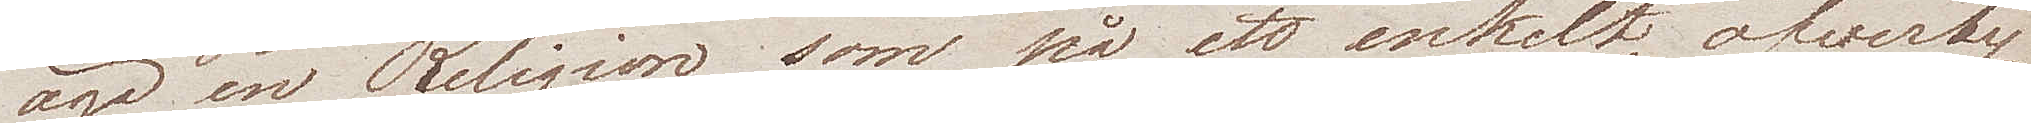äga en Religion som på ett enkelt, öfverty¬
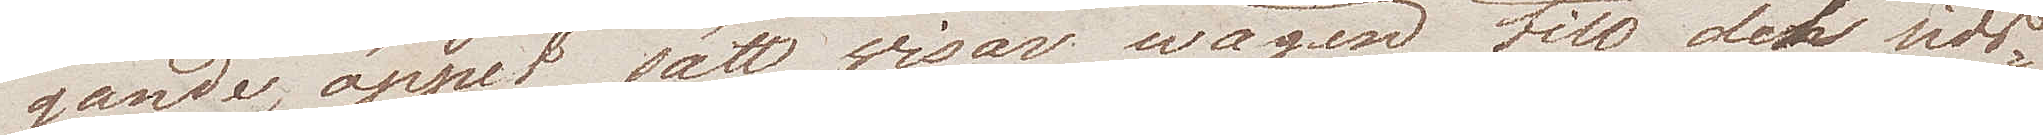gande, öppet sätt wisar wägen till det sids¬
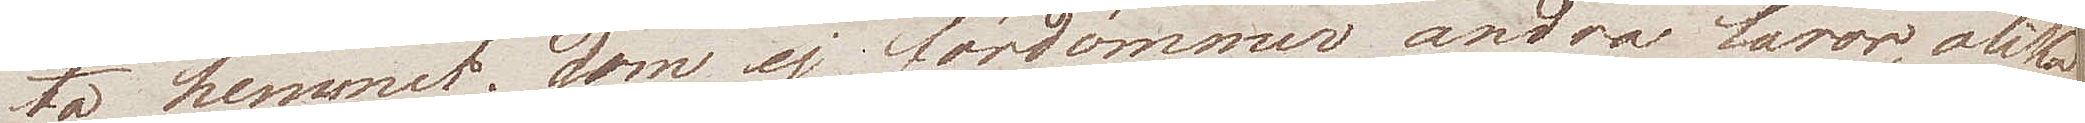ta hemmet; som ej fördömmer andra läror, olika 
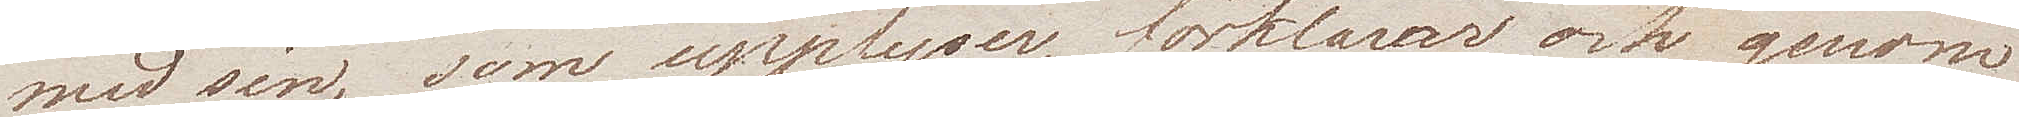med sin, som upplyser, förklarar och genom
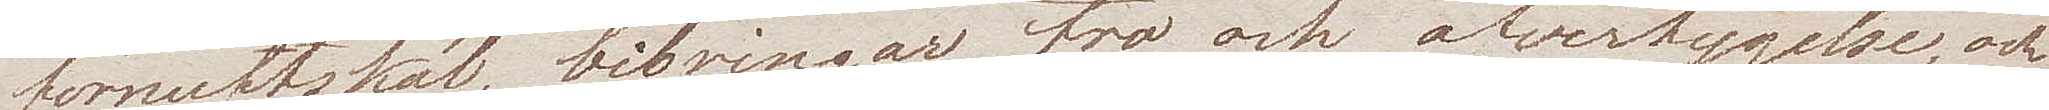förnuftskäl, bibringar tro och öfvertygelse, och
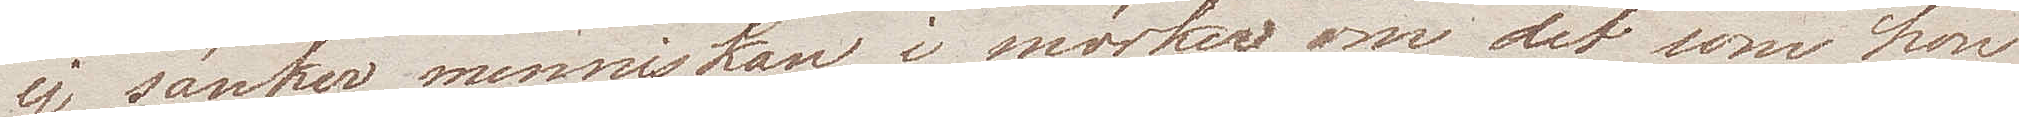ej sänker menniskan i mörker om det som hon
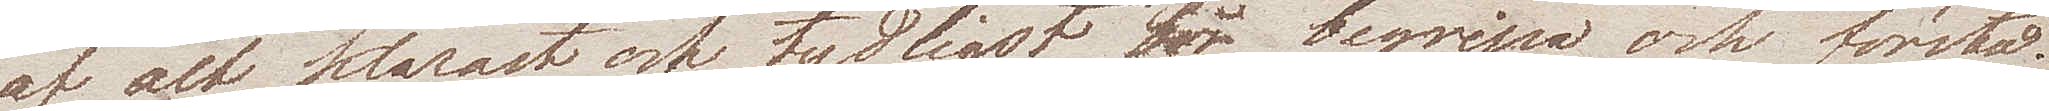af alt, klarast och tydligast bör begripa och förstå.
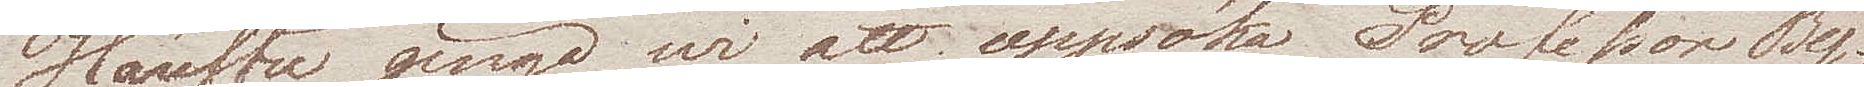Härefter gingo wi att uppsöka Professor By¬
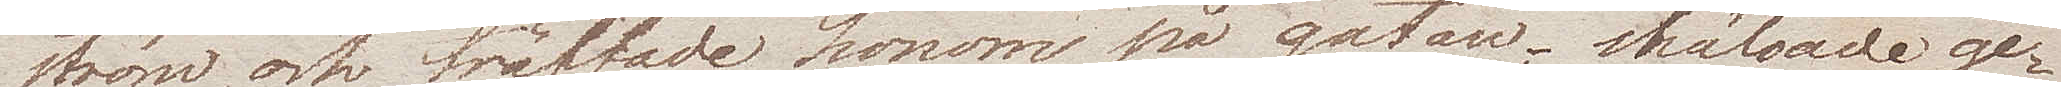ström, och träffade honom på gatan, hälsade ge¬
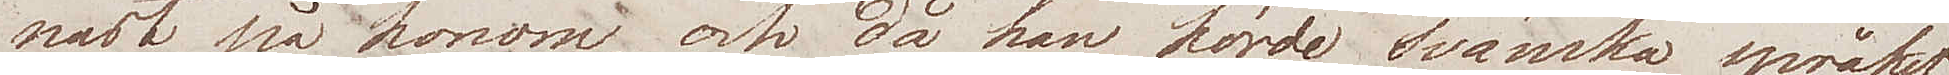nast på honom, och då han hörde svänska språket
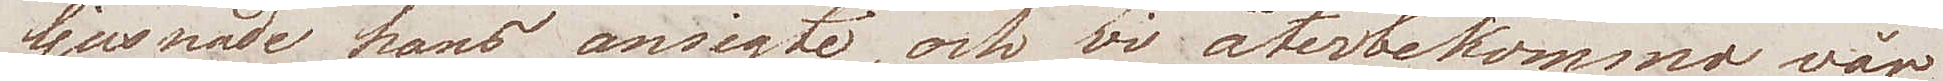ljusnade hans ansigte, och wi återbekommo vår
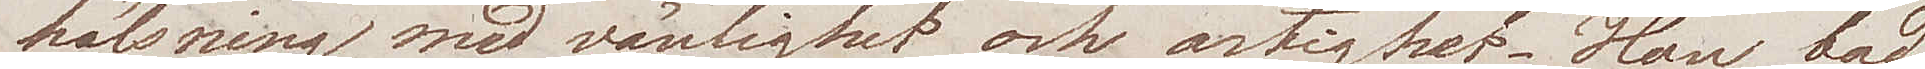hälsning med vänlighet och artighet. Han bad
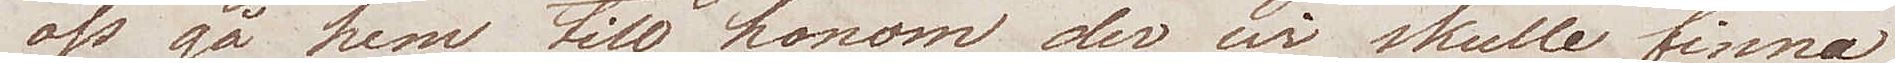oss gå hem till honom, der wi skulle finna
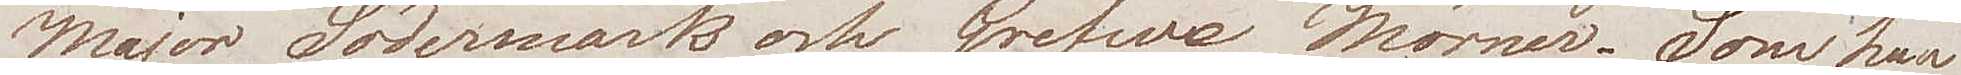Major Södermark och Grefwe Mörner. Som han
